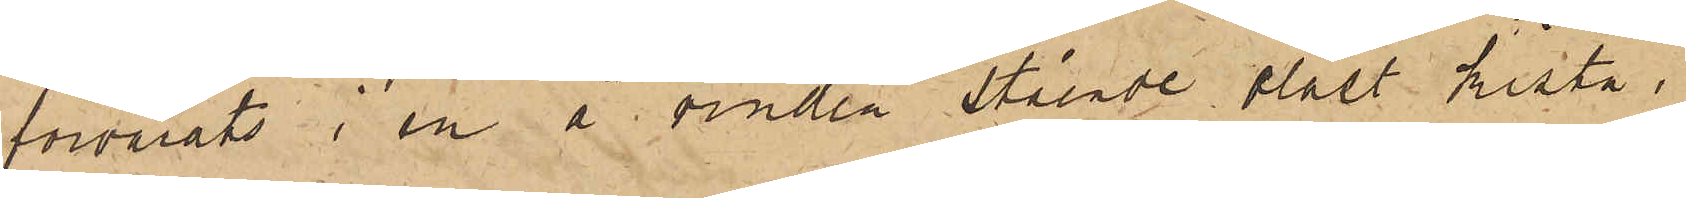förvarats i en å vinden stående olåst kista,
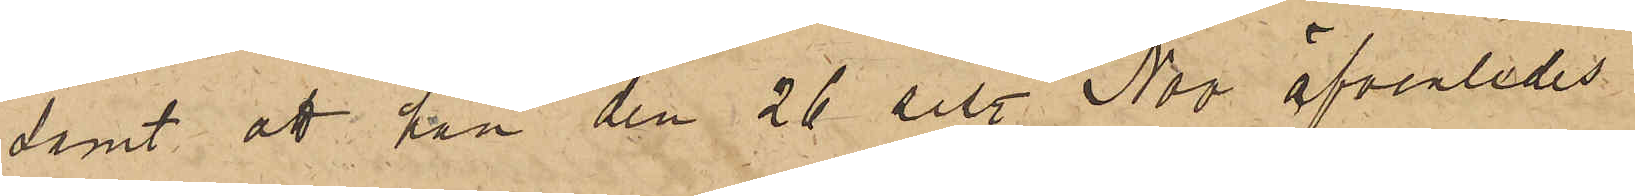samt att han den 26 sist. Nov äfvenledes
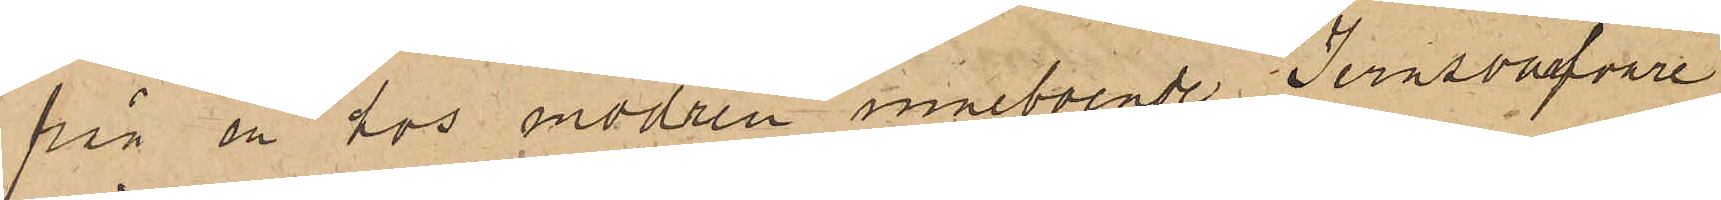från en hos modren inneboende Jernsvarfvare
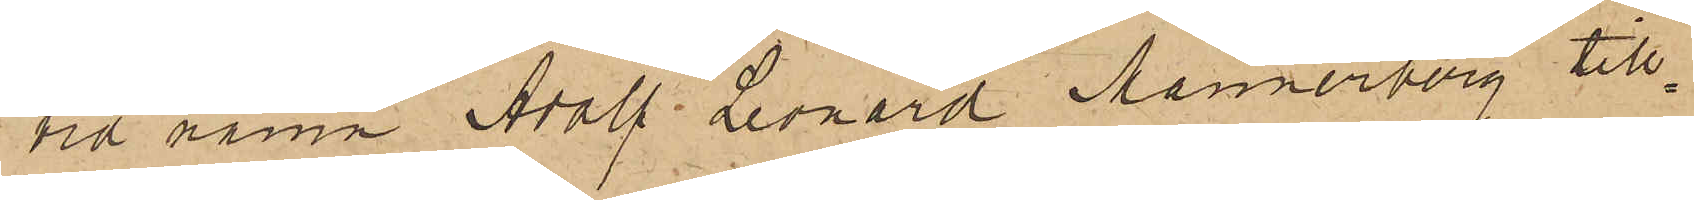vid namn Adolf Leonard Mannerberg till¬
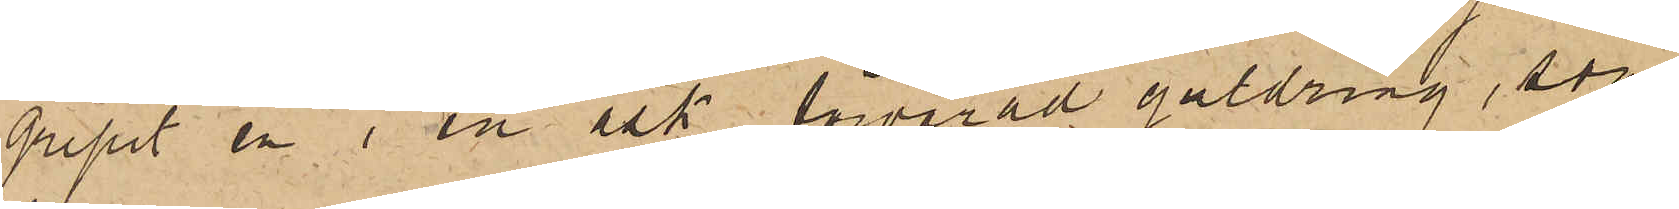gripit en i en ask förvarad guldring, som
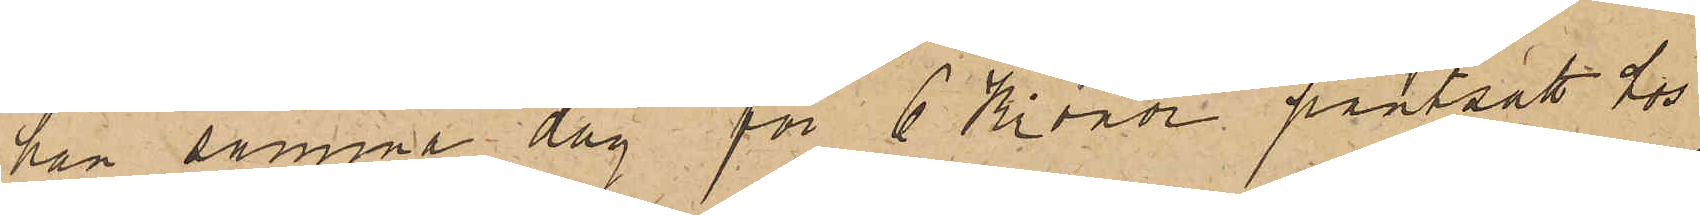han samma dag för 6 Kronor pantsatt hos
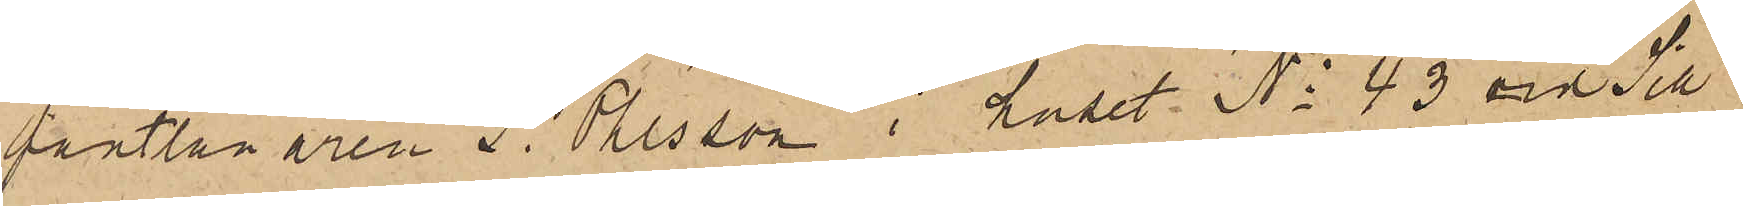pantlånaren J. Ohlsson i huset No 43 vid Sill¬
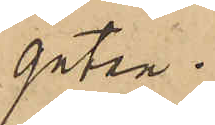gatan.
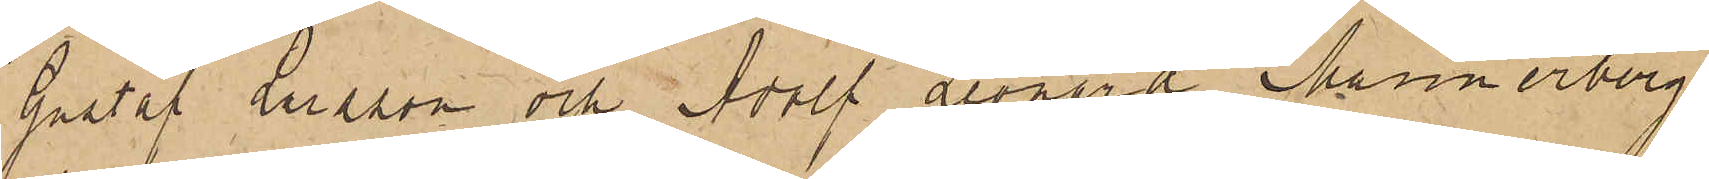Gustaf Larsson och Adolf Leonard Mannerberg
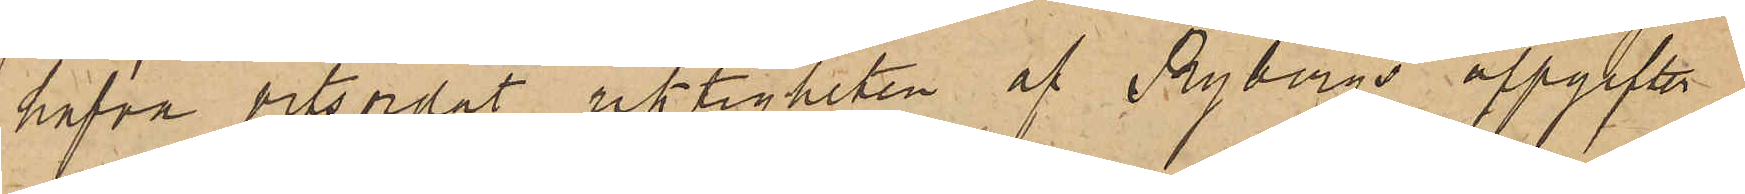hafva vitsordat riktigheten af Rybergs uppgifter
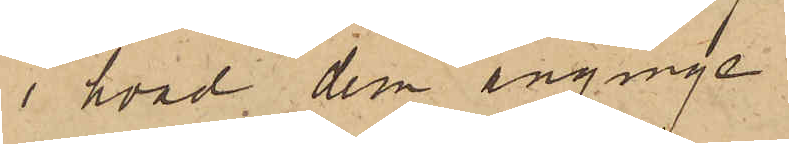i hvad dem anginge.
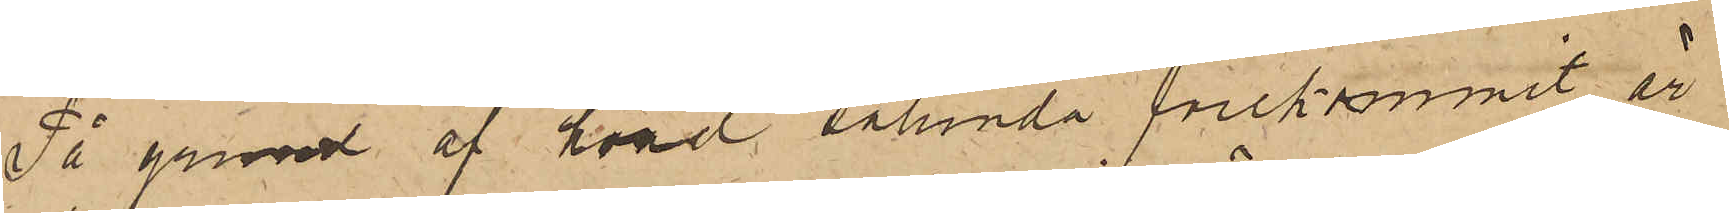På grund af hvad sålunda förekommit, är
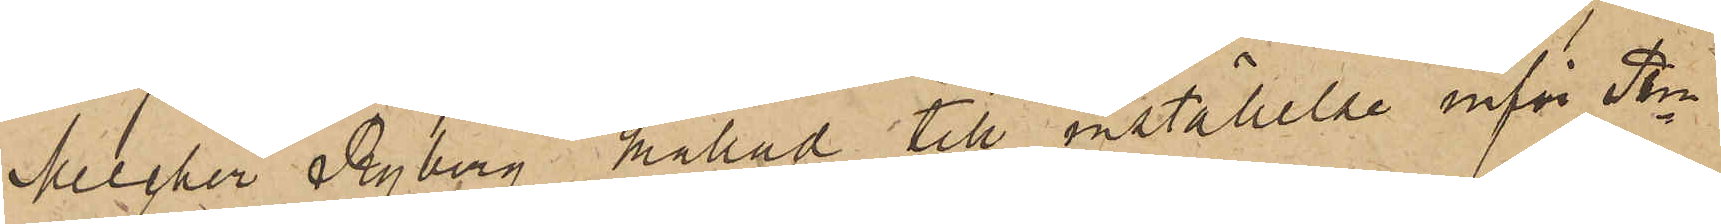Melcher Ryberg kallad till inställelse inför Pkn
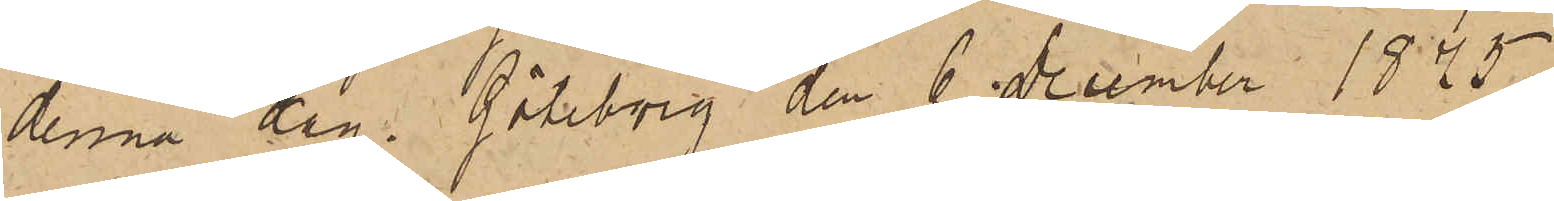denna dag. Göteborg den 6 December 1875.
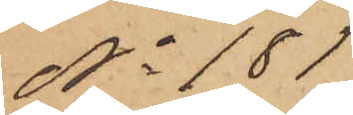No 181
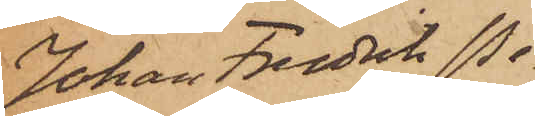Johan Fredrik Pe¬
